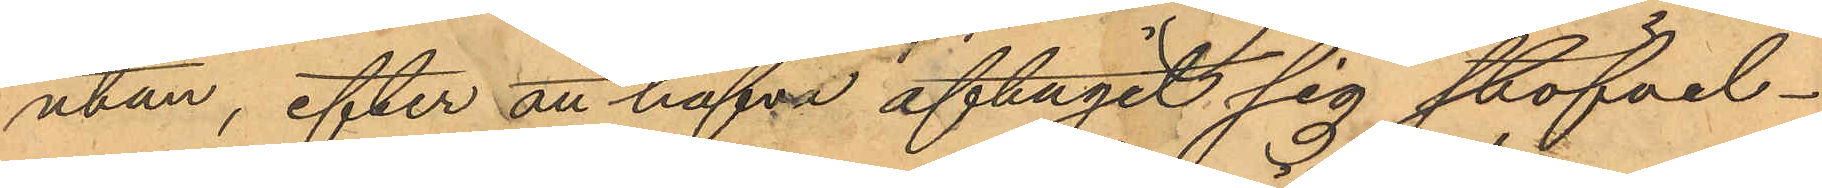utan, efter att hafva aftagit sig stöfvel¬
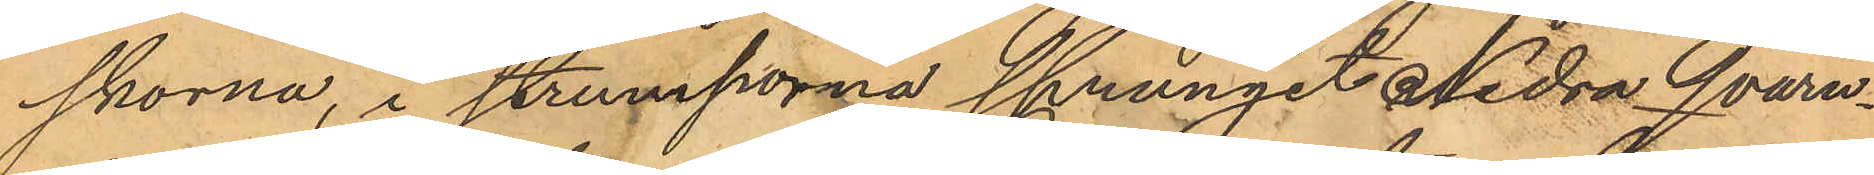skorna, i strumporna sprungit Nedra Qvarn¬
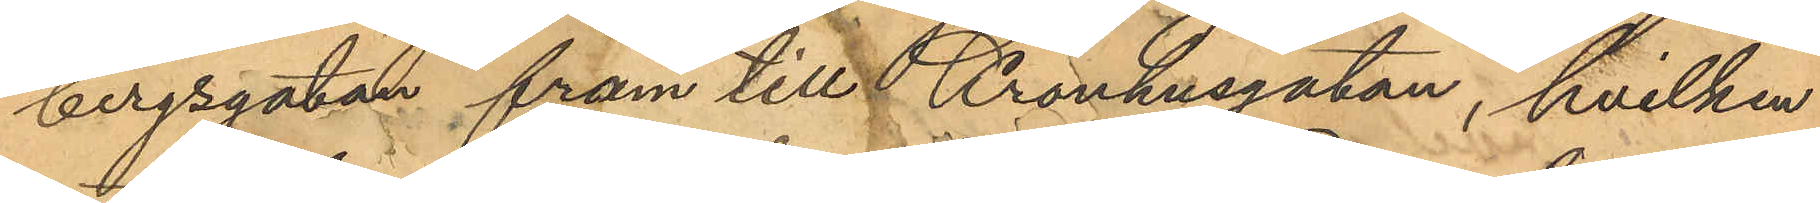bergsgatan fram till Kronhusgatan, hvilken
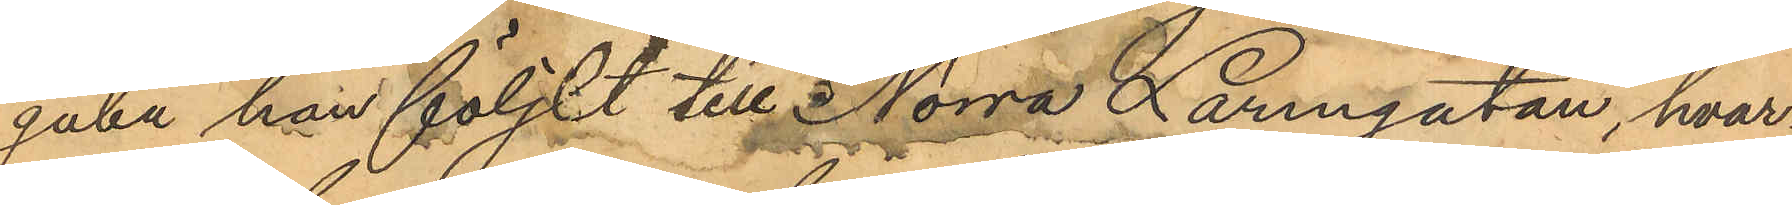gata han följdt till Norra Larmgatan, hvar¬
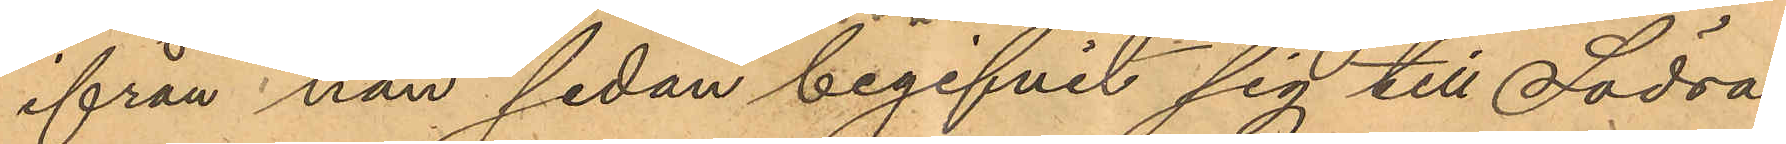ifrån han sedan begifvit sig till Södra
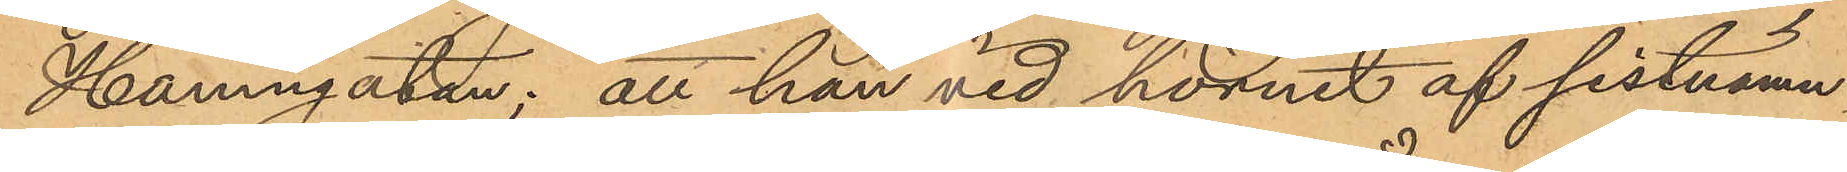Hamngatan; att han vid hörnet af sistnämn¬
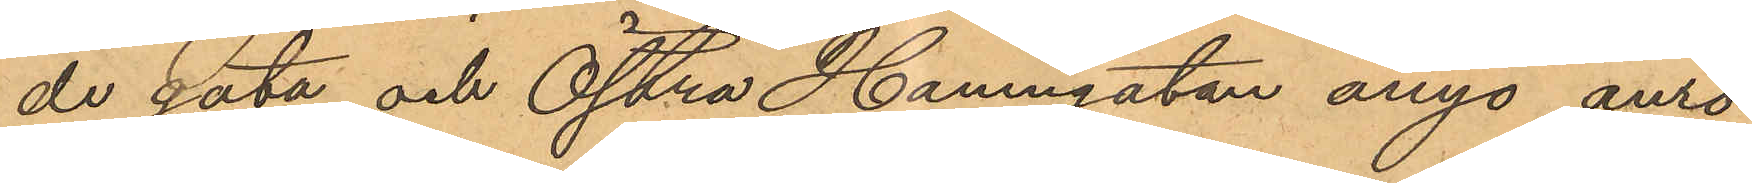de gata och Östra Hamngatan ånyo anro¬
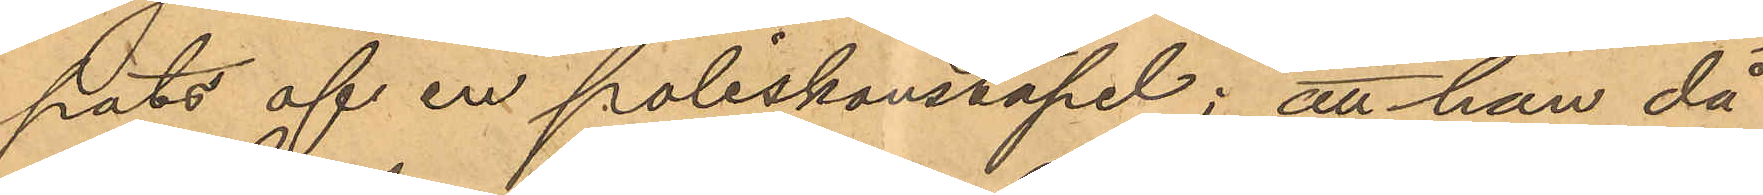pats af en poliskonstapel; att han då
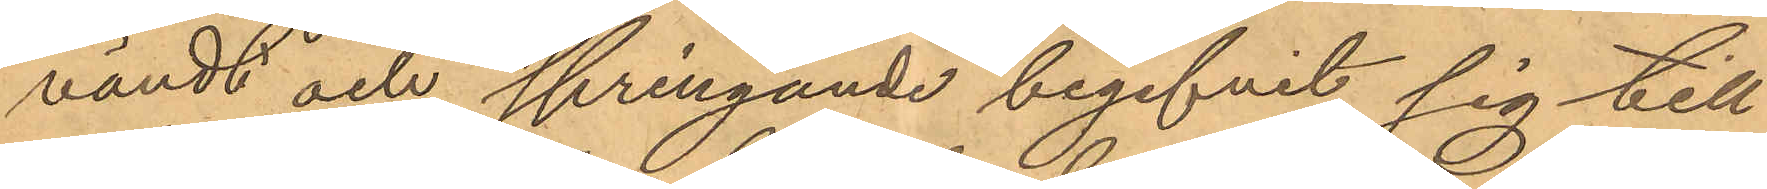vändt och springande begifvit sig till
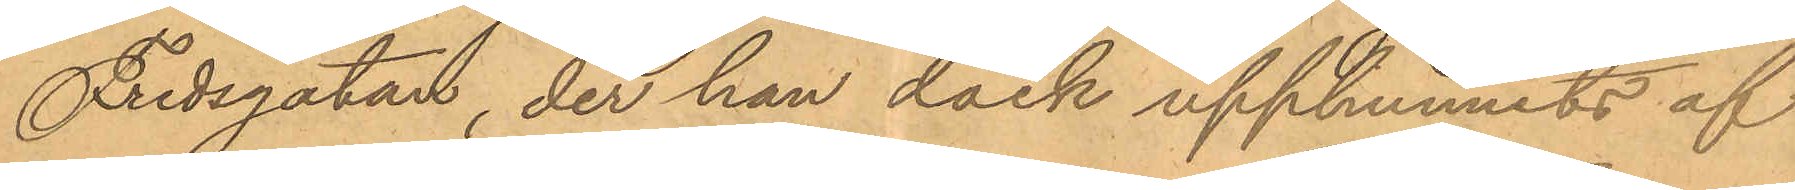Fredsgatan, der han dock upphunnits af
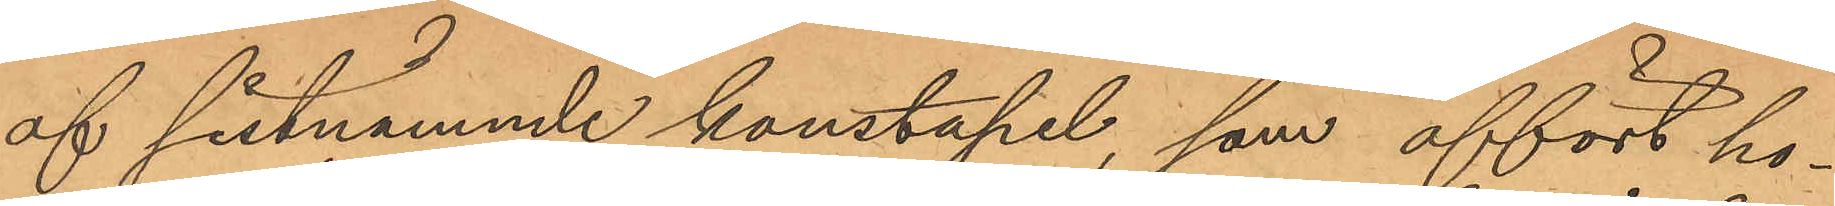af sistnämnde konstapel, som affört ho¬
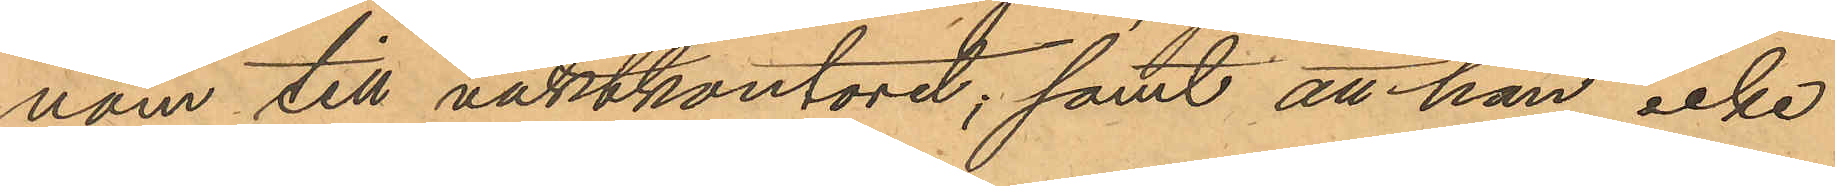nom till vaktkontoret; samt att han icke
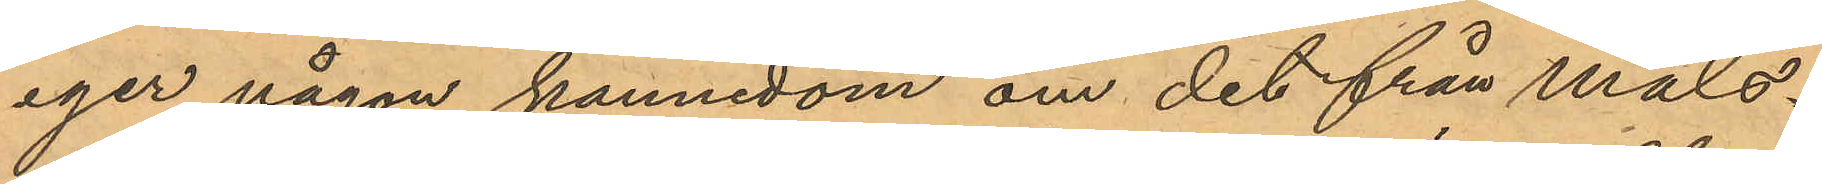eger någon kännedom om det från måls¬
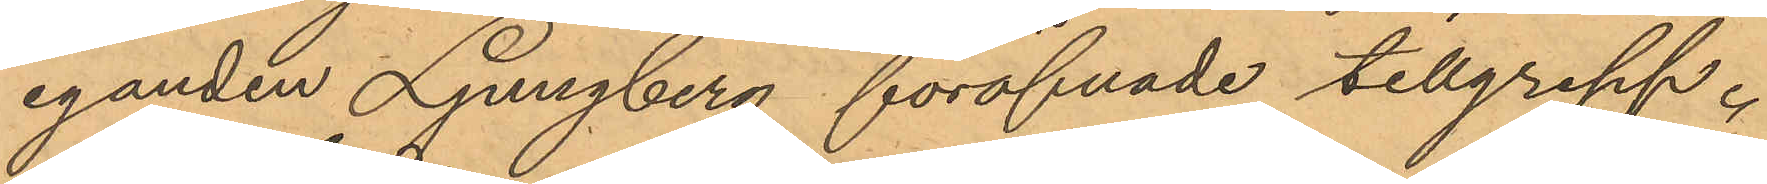eganden Ljungberg föröfvade tillgrepp.
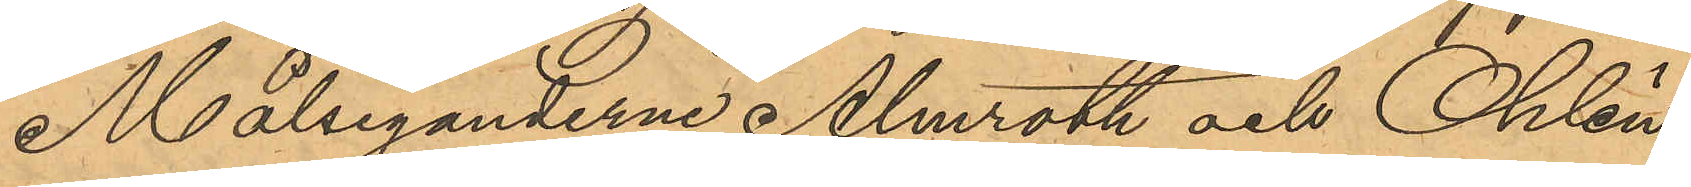Målseganderne Almroth och Ohlin
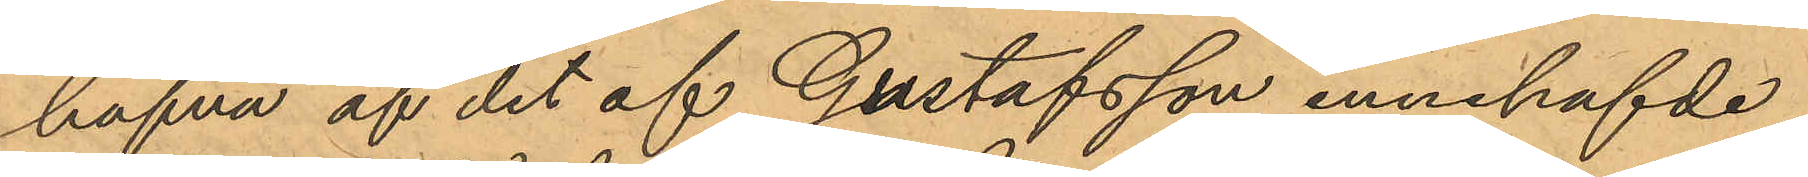hafva af det af Gustafsson innehafvde
